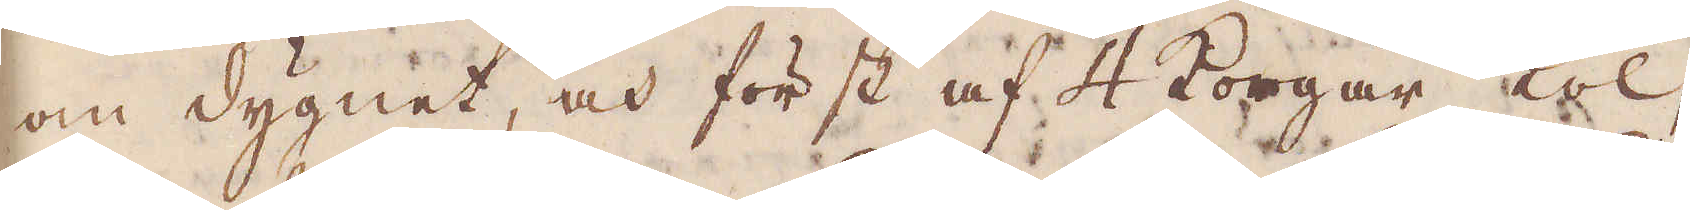om dygnet, och först af 4 korgar kol,
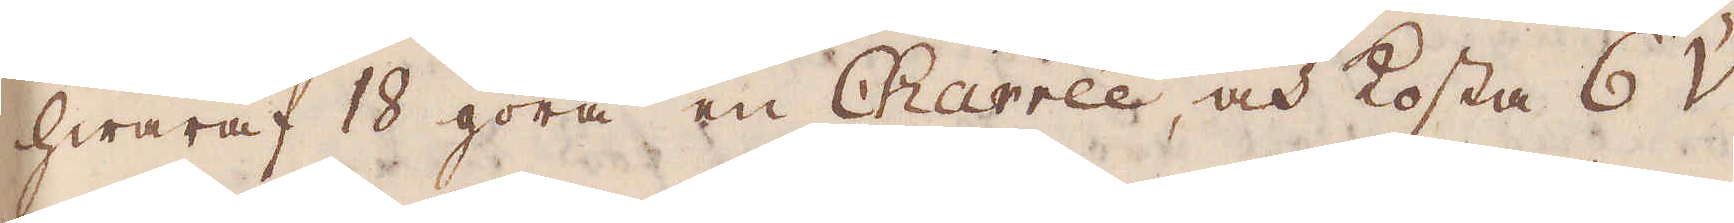hwaraf 18 göra en Charrée, och kosta 6 V
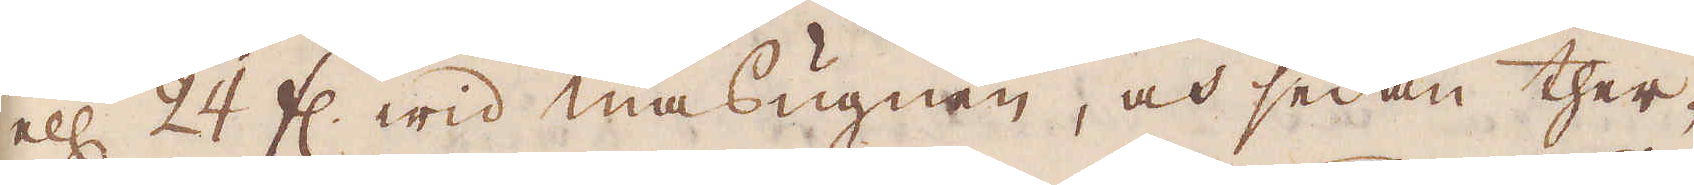ell 24 fl. wid masugnen, och sedan ther-
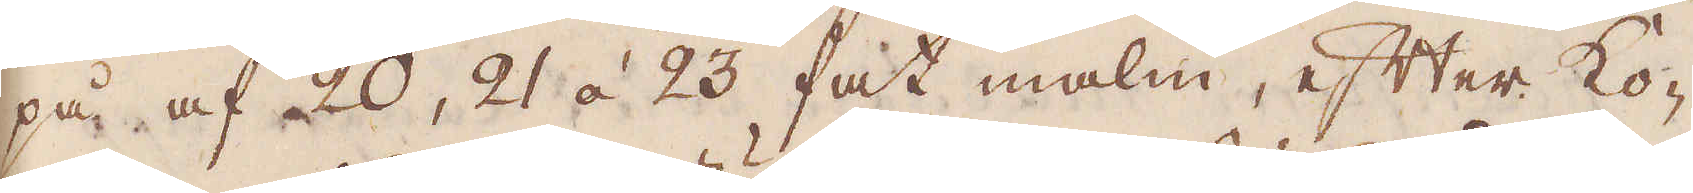på af 20, 21 à 23 fatt malm, efter ko-
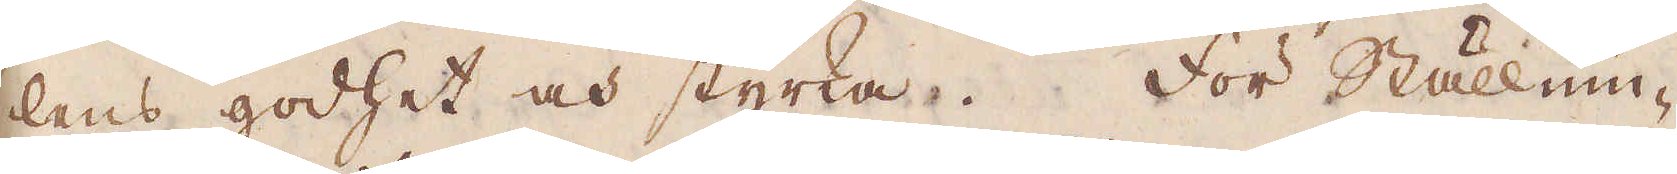lens godhet och styrka. För Ställnin-
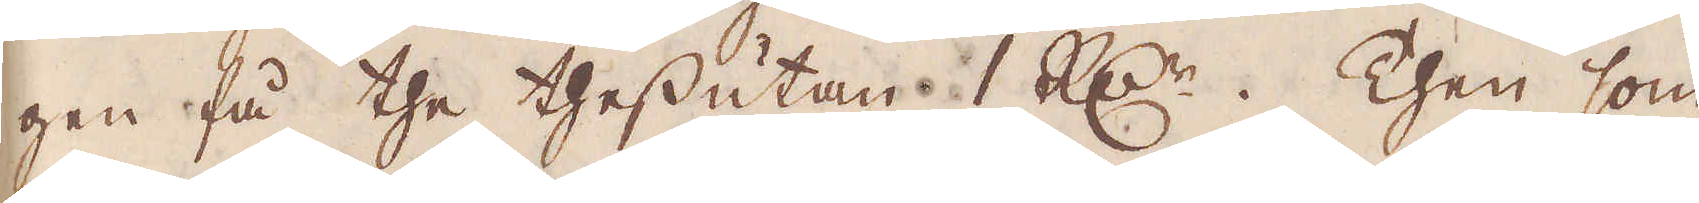gen få the thessutan 1 R:dr. Then som
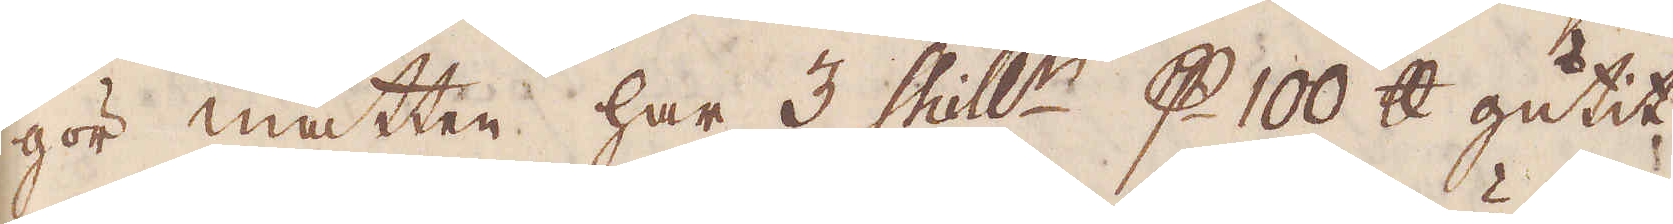gör måtten har 3 skill:r p 100 skålpund gutit
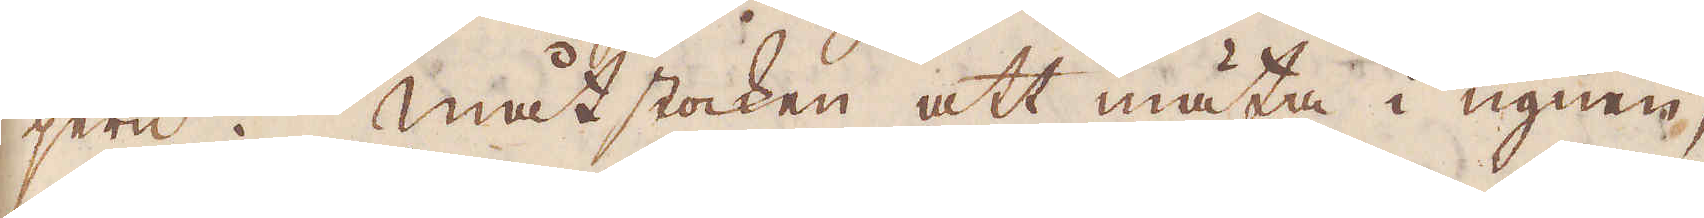jern. Måtstocken att mäta i ugnen,
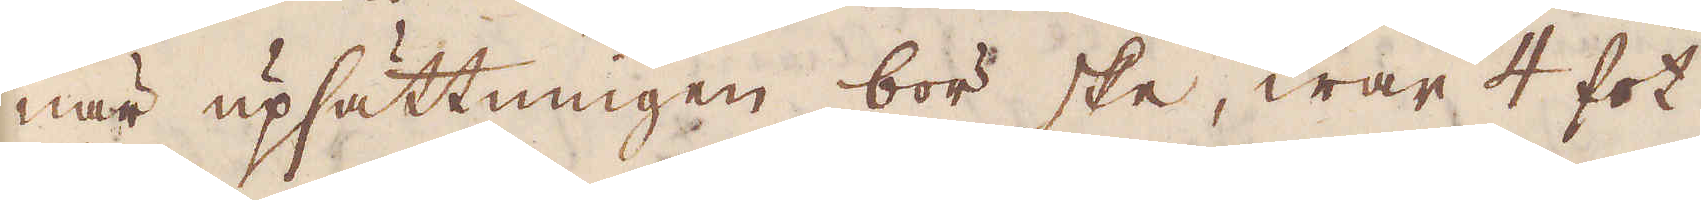när upsättningen bör ske, war 4 fot
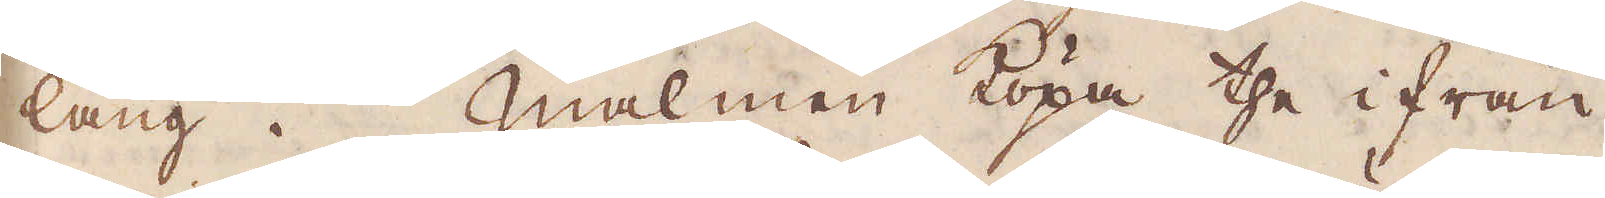lång. Malmen köpa the ifrån
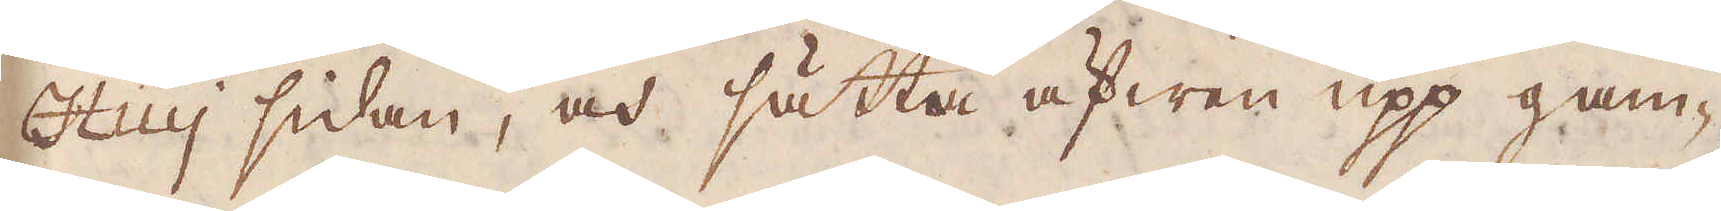Huij sidan, och sätta äfwen upp gam-
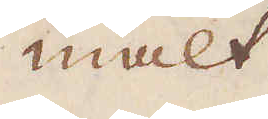malt
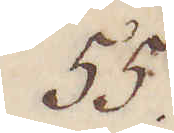55.
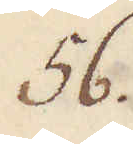56.
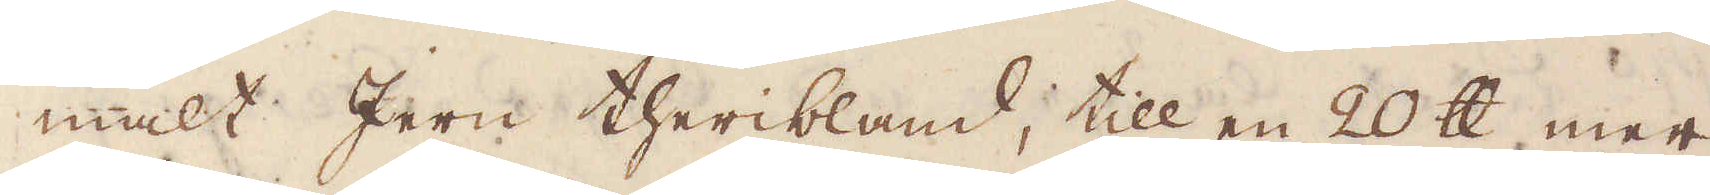malt Jern theribland, till en 20 skålpund, mer
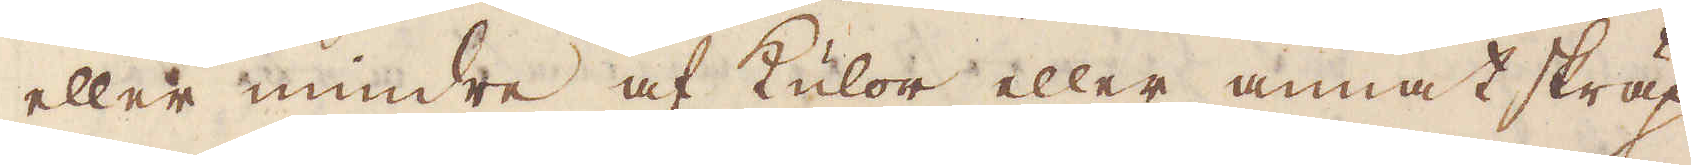eller mindre af kulor eller annat skräp-
